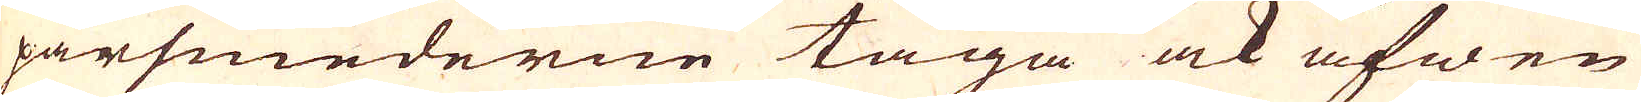parsmederne taga ock äfwen
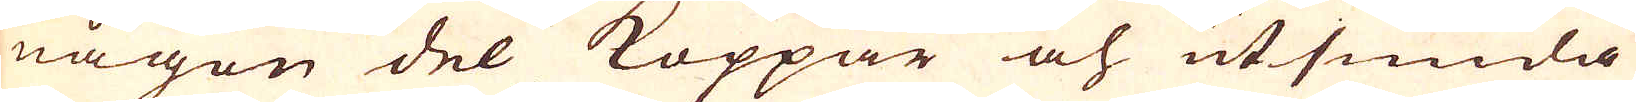någon del Koppar och utsmidia
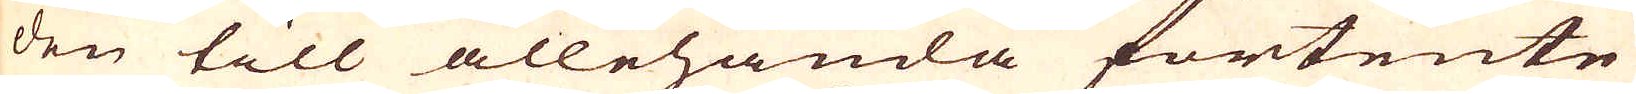den till allehanda fortente
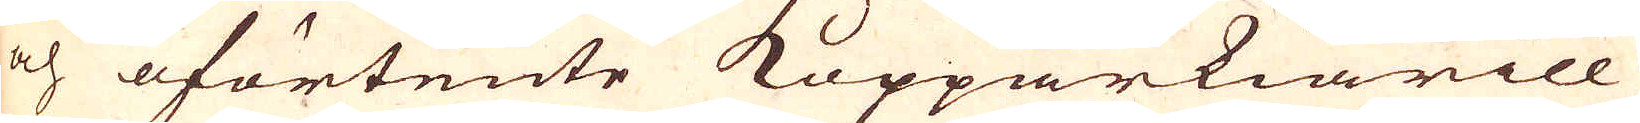och oförtente Kopparkiärill
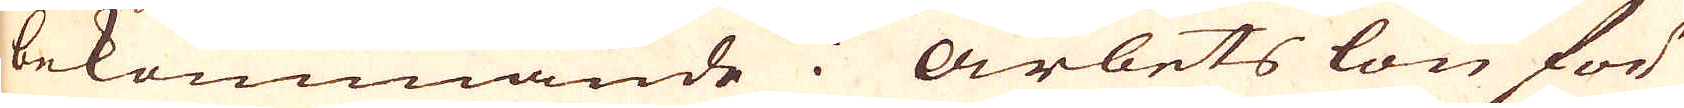bekommande i Arbets lön för
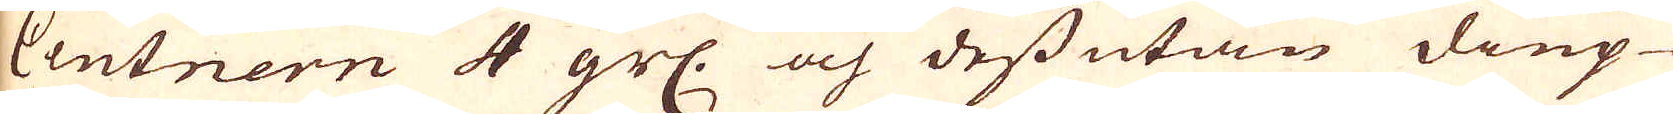Centnern 4 grs: och dessutan diup-
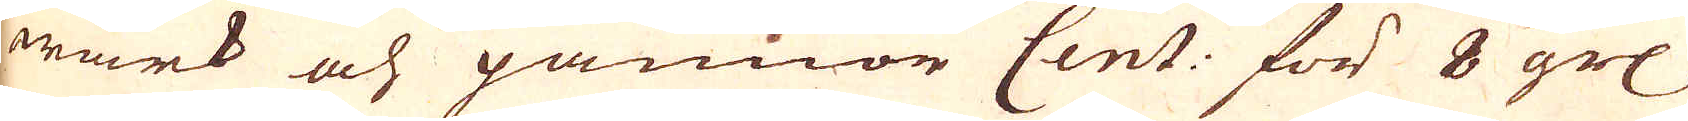wärk och pannor Cent: för 8 grs
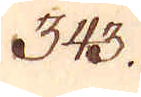343.
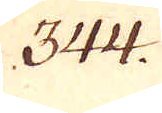344.
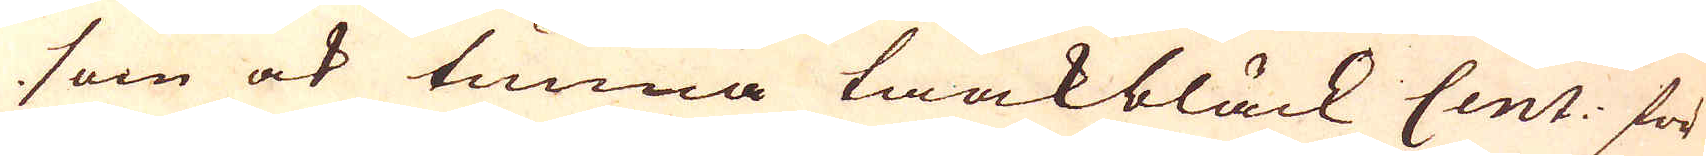som ock tunna taakbläck Cent: för
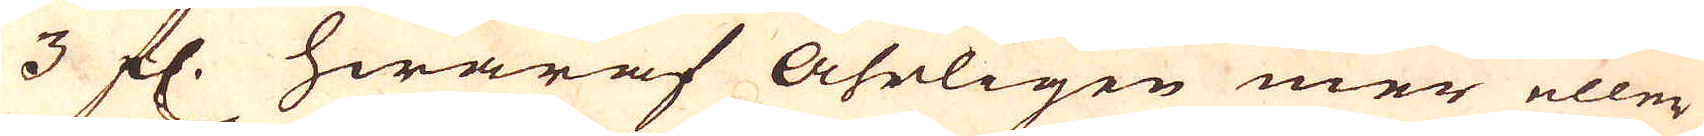3 fl. hwaraf Åhrligen mer eller
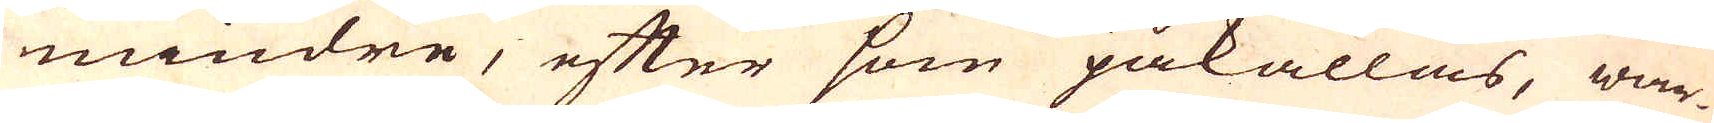mindre, efter som påkallas, war-
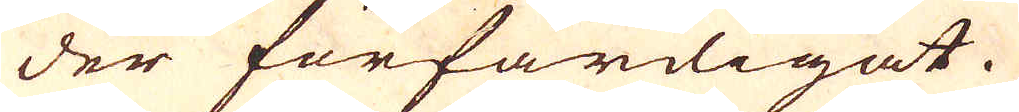der förfärdigat.
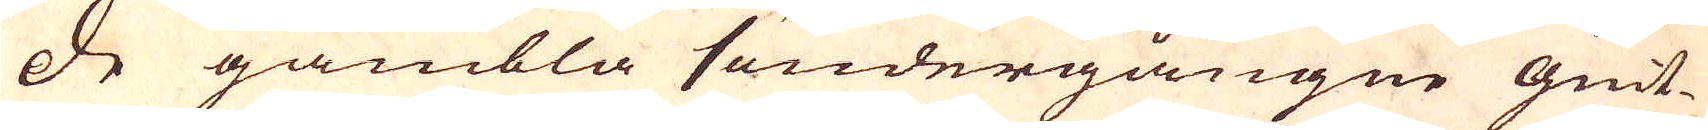De gambla söndergångne giut-
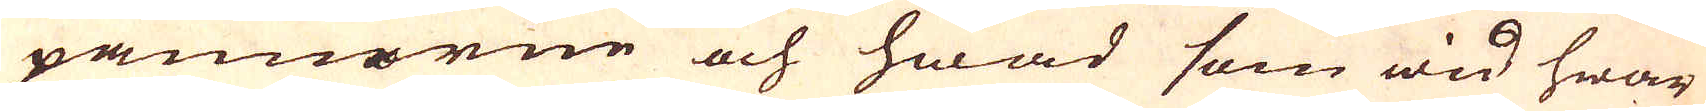pannorne och hwad som wid hwar
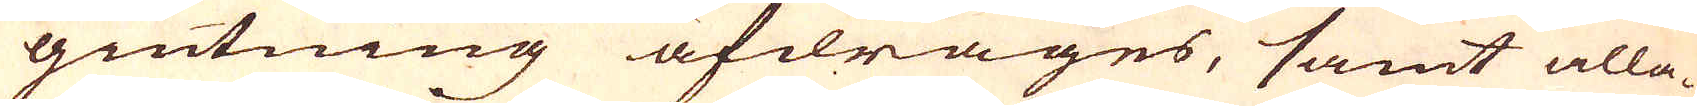giutning afdrages, samt alla-
